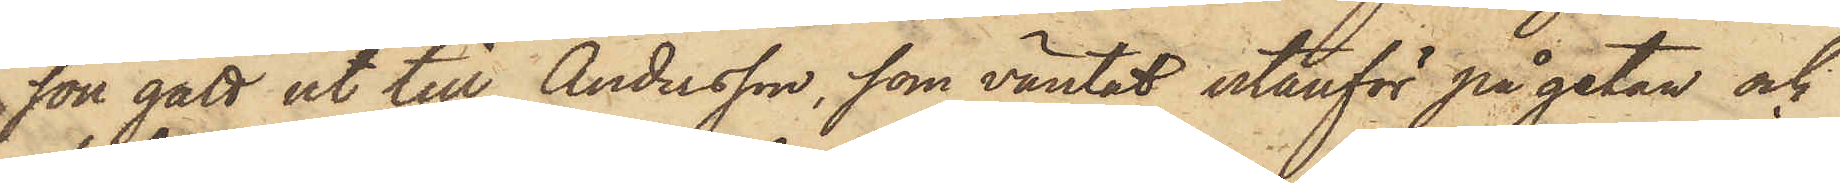son gått ut till Andersson, som väntat utanför på gatan och
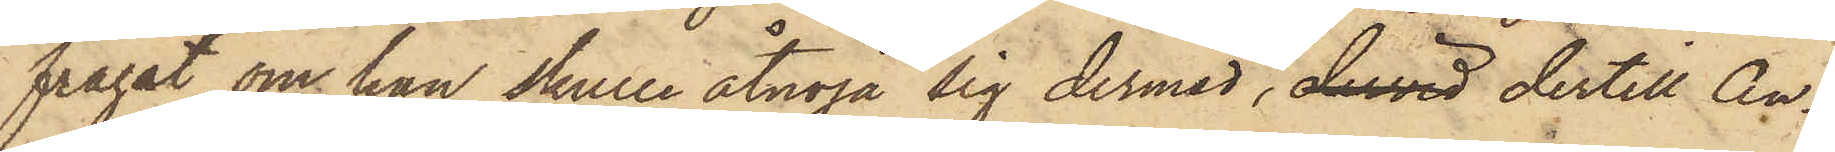frågat om han skulle åtnöja sig dermed, dervid dertill An¬
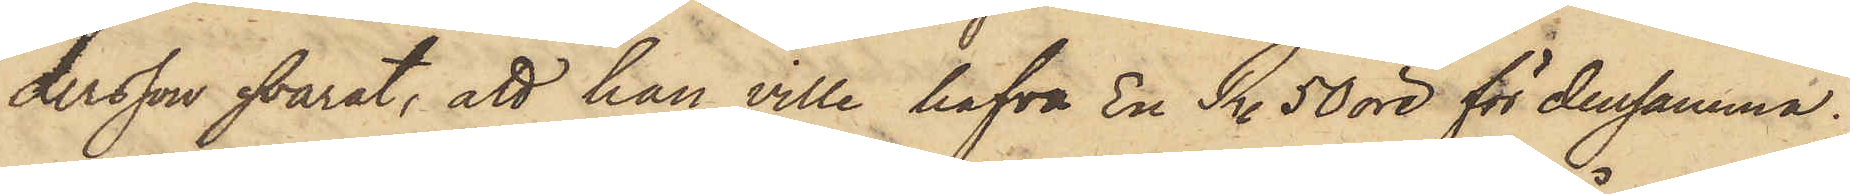dersson svarat, att han ville hafva En R. 50 öre för densamma,
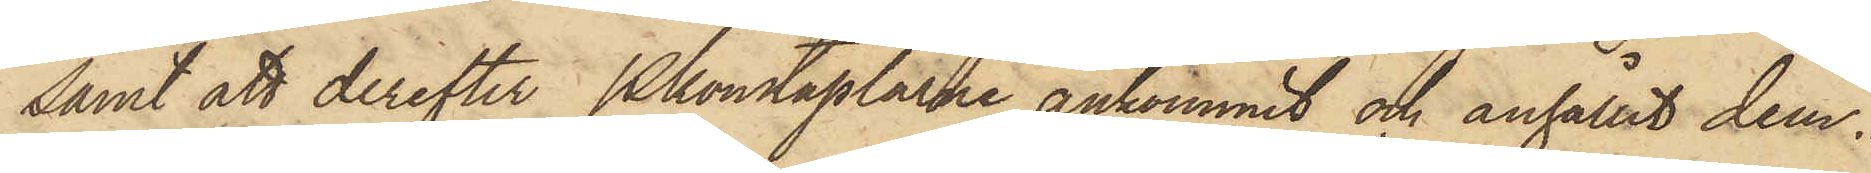samt att derefter Pkonstaplarne ankommit och anhållit dem.
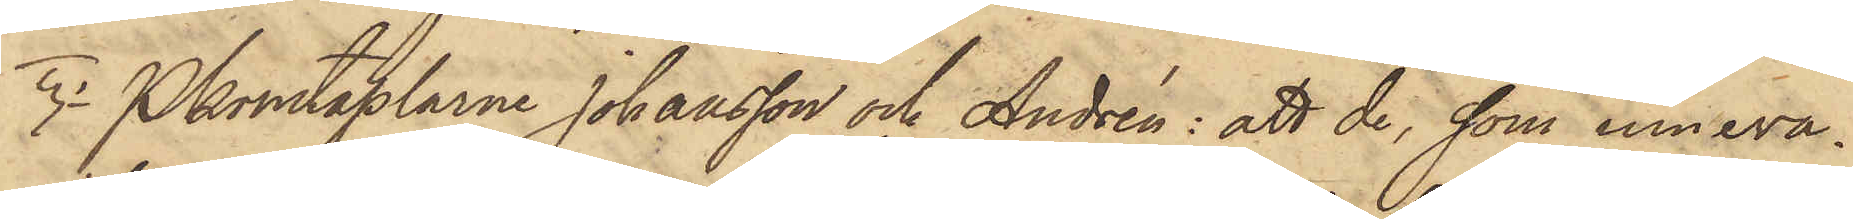3o Pkonstaplarne Johansson och Andrén: att de, som inneva¬
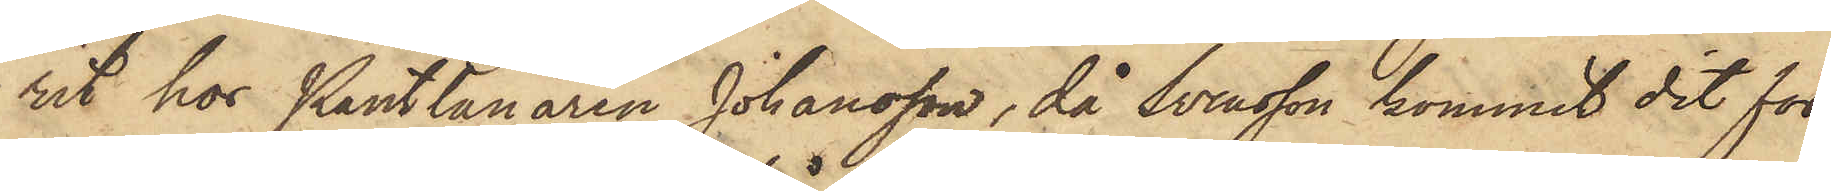rit hos Pantlånaren Johansson, då Svensson kommit dit för
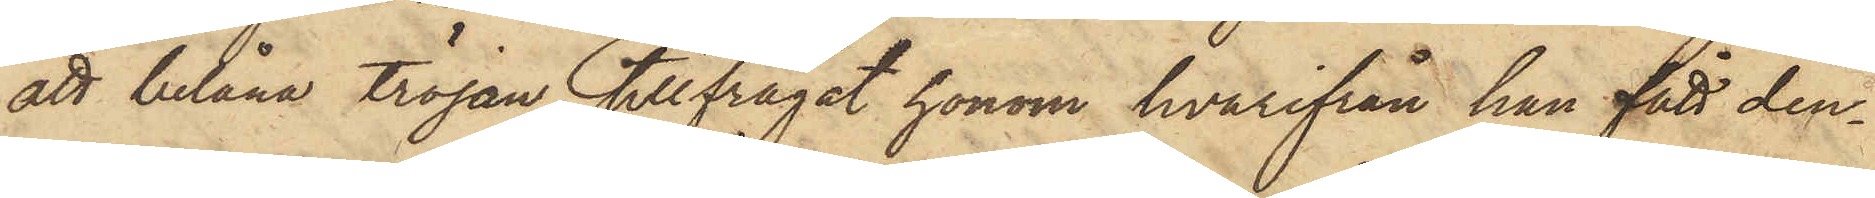att belåna tröjan, tillfrågat honom hvarifrån han fått den¬
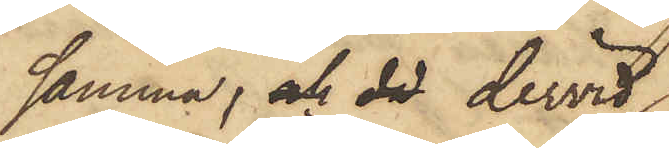samma; och då dervid
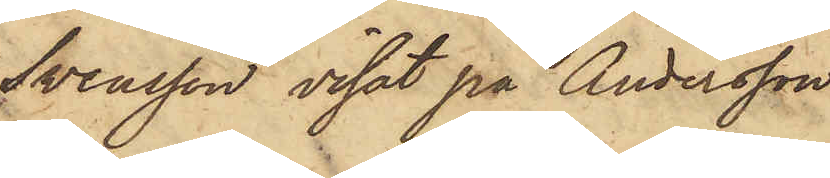Svensson visat på Andersson
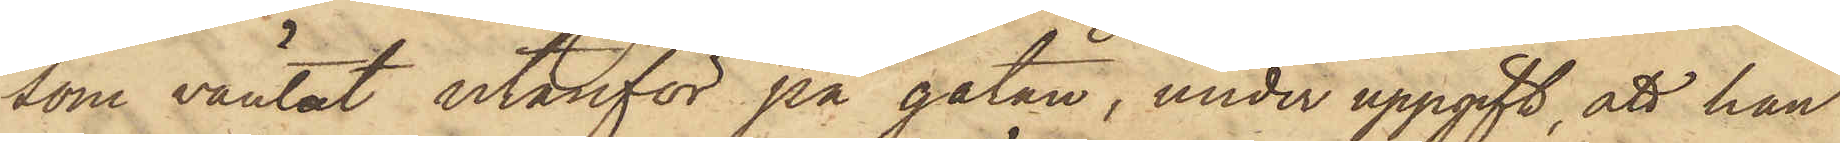som väntat utanför på gatan, under uppgift, att han
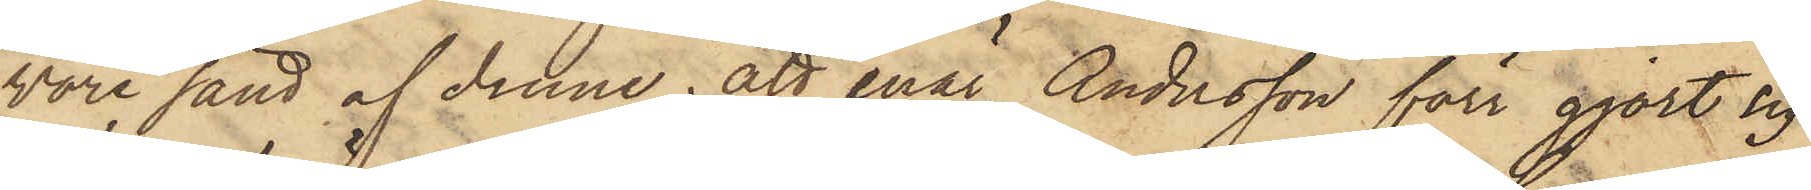vore sänd af denne; att enär Andersson förr gjort sig
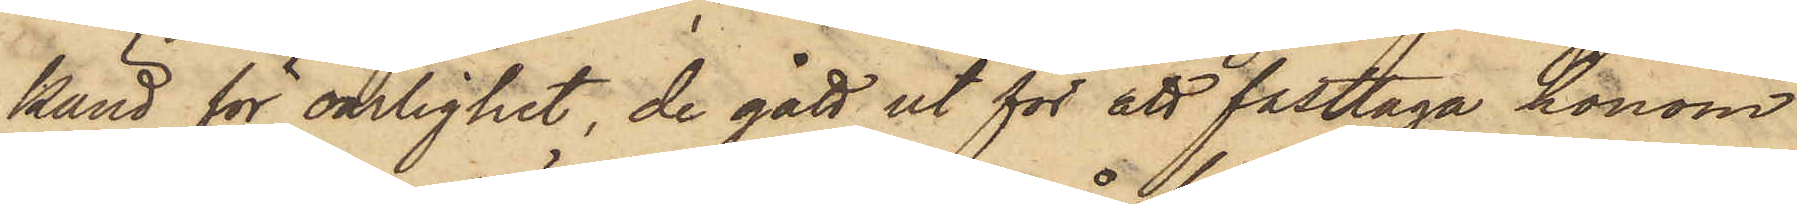känd för oärlighet, de gått ut för att fasttaga honom
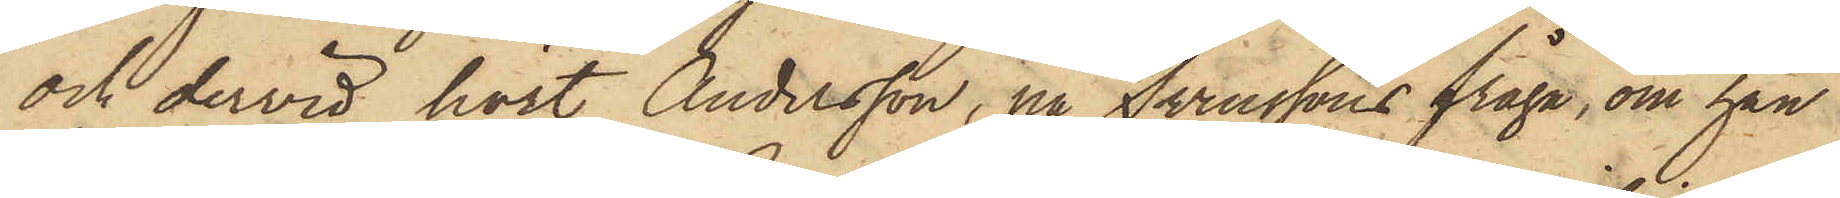och dervid hört Andersson, på Svenssons fråga, om han
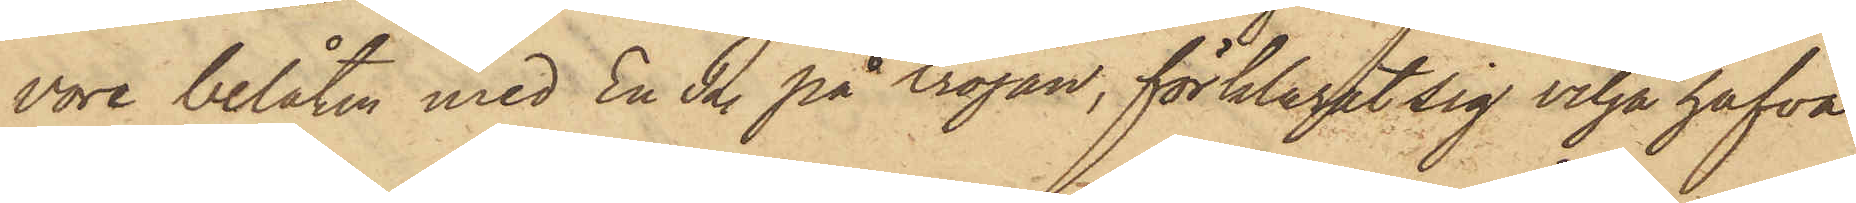vore belåten med En R. på tröjan, förklarat sig vilja hafva
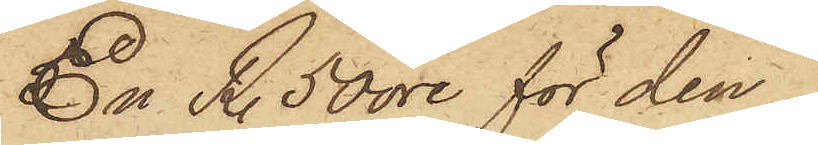En R. 50 öre för den.
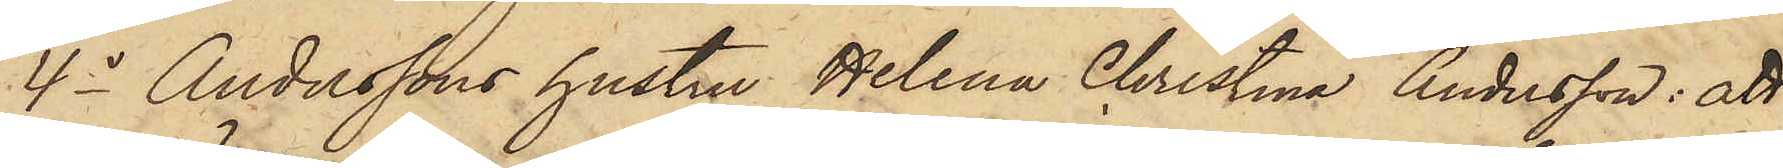4o Anderssons hustru Helena Christina Andersson: att
